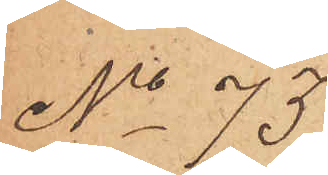No 75
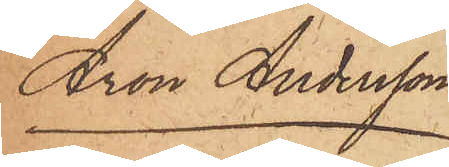Aron Andersson
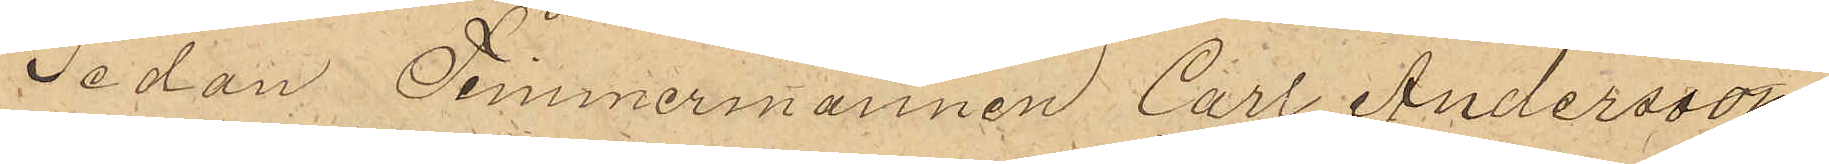Sedan Timmermannen Carl Andersson
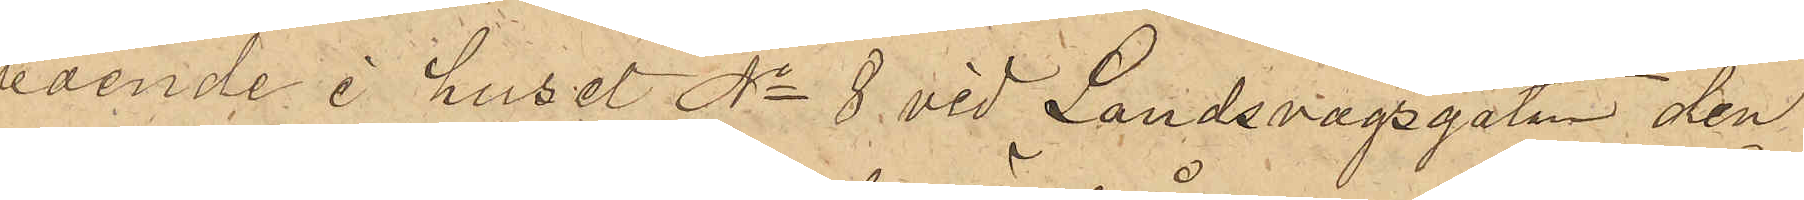boende i huset No 8 vid Landsvägsgatan den
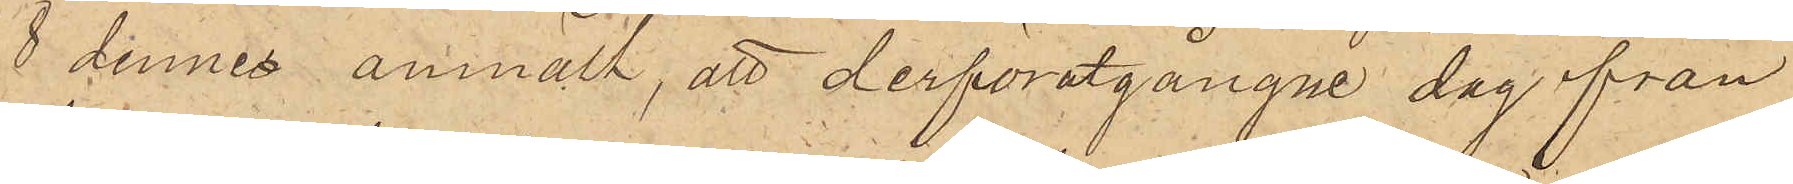8 dennes anmält, att derförutgångne dag från
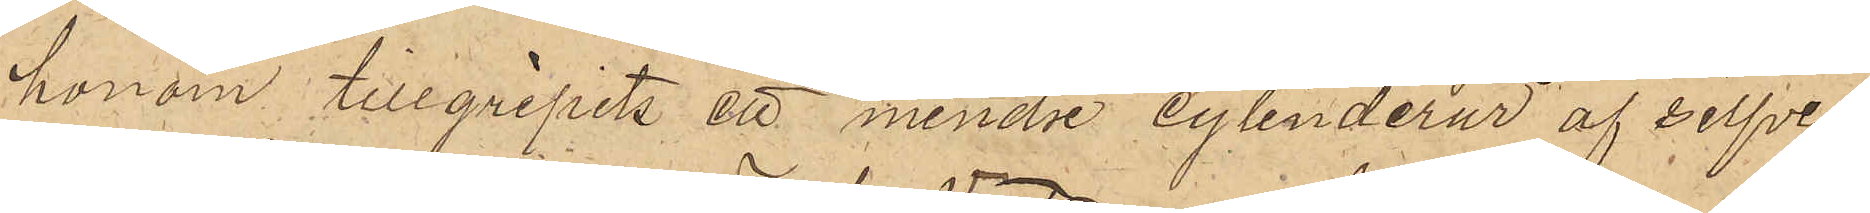honom tillgripits ett mindre cylinderur af silfver
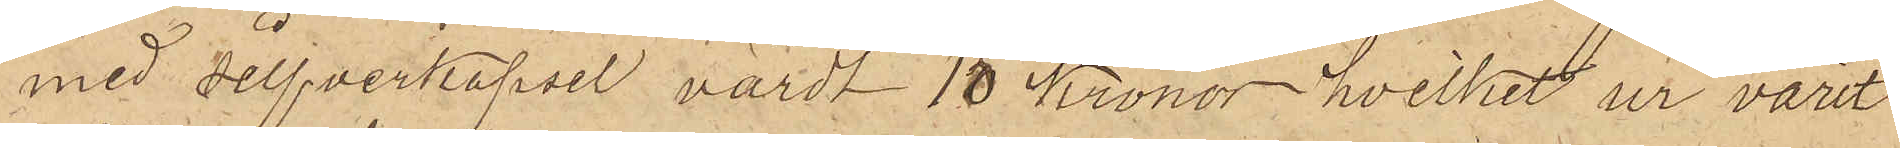med silfverkapsel värdt 15 Kronor, hvilket ur varit
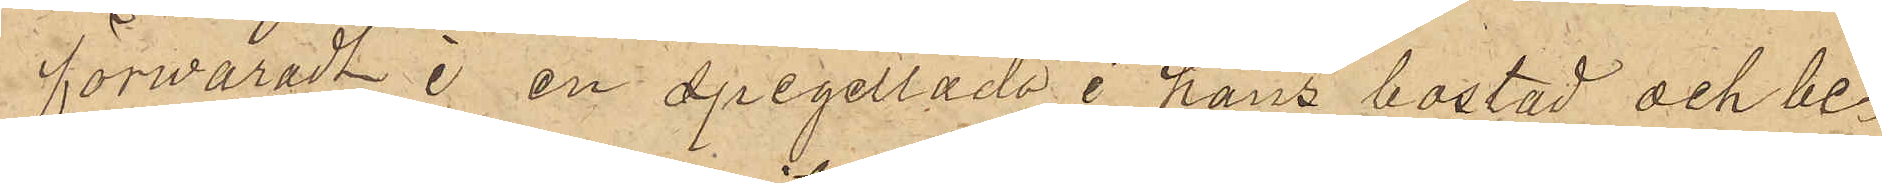förvaradt i en spegellåda i hans bostad och be¬
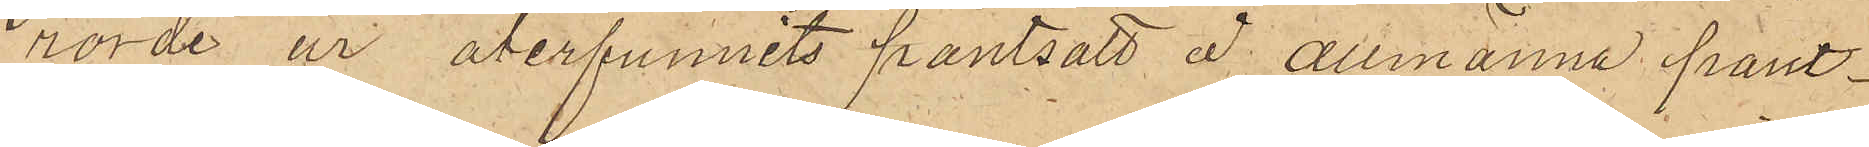rörde ur återfunnits pantsatt å allmänna pant¬
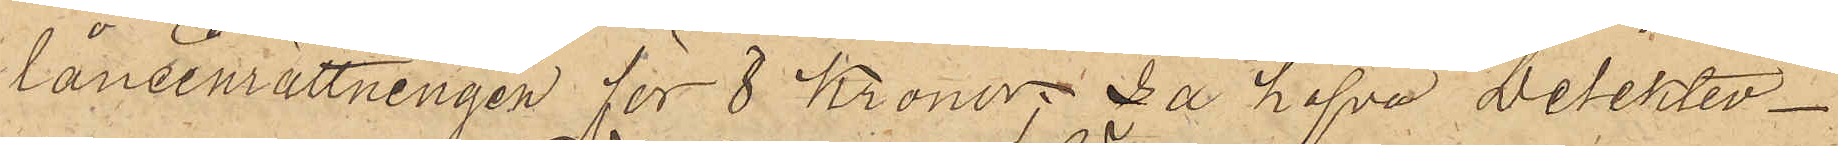låneinrättningen för 8 Kronor, så hafva Detektiv¬
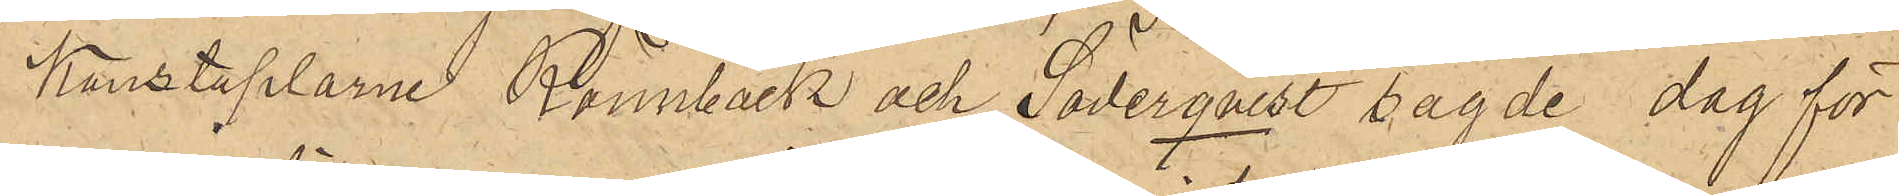Konstaplarne Rönnbäck och Söderqvist sagde dag för
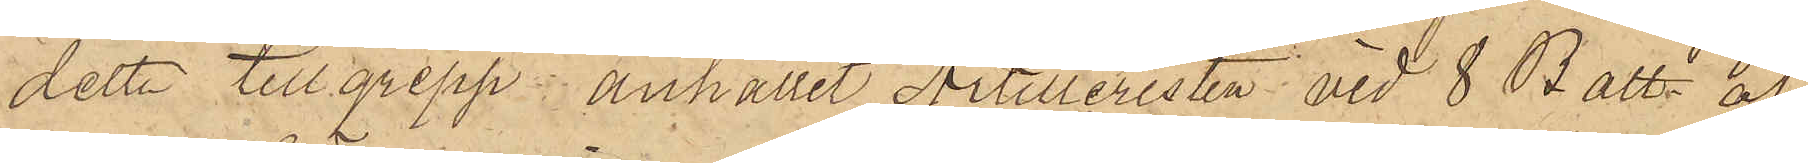detta tillgrepp anhållit Artilleristen vid 8 Batt. af
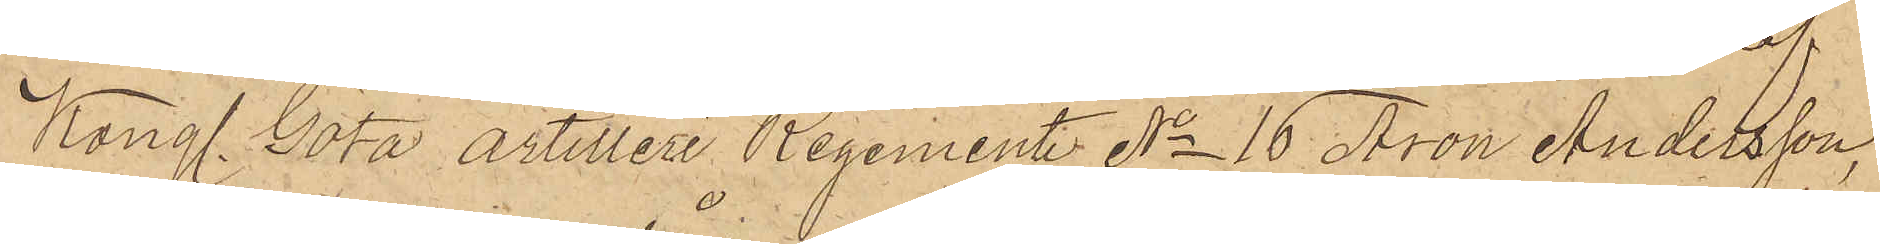Kongl. Göta Artilleri Regemente No 16 Aron Andersson,
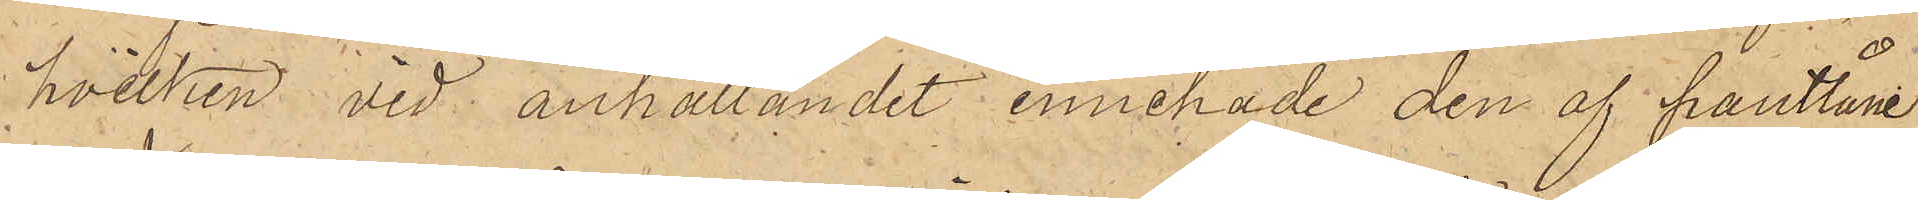hvilken vid anhållandet innehade den af pantlåne¬
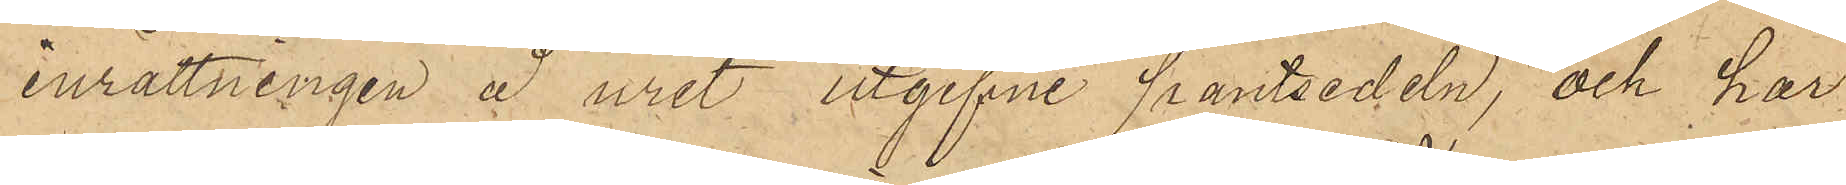inrättningen å uret utgifne pantsedeln; och har
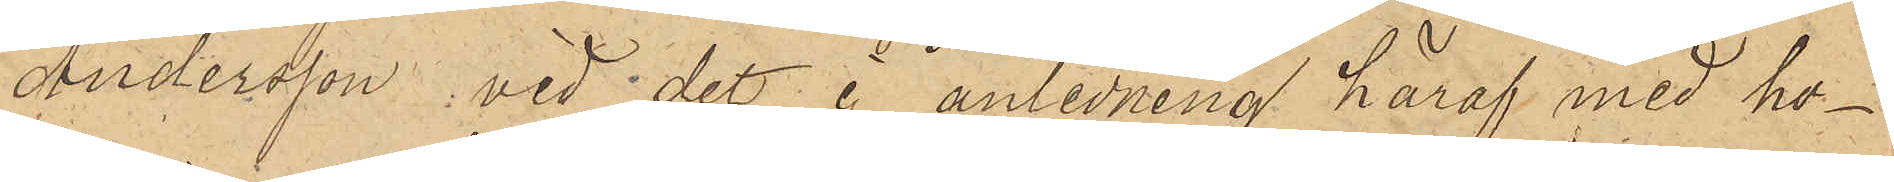Andersson, vid det i anledning häraf med ho¬
